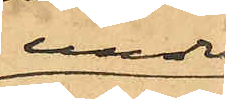under
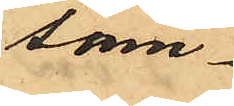sam¬
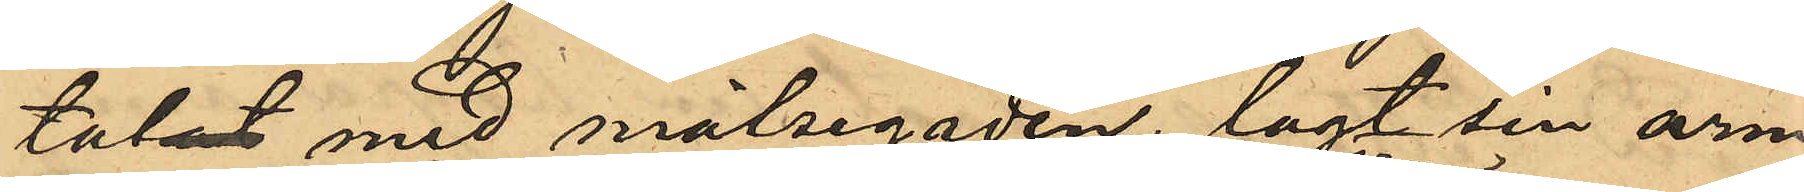tal med målsegaden, lagt sin arm
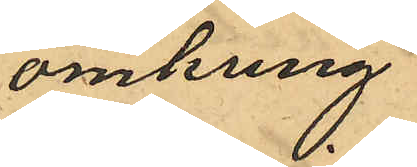omkring
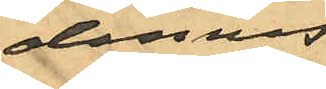dennes
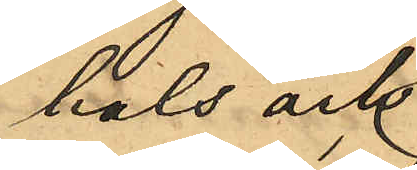hals och
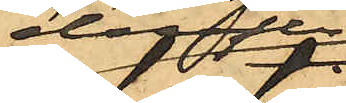derefter
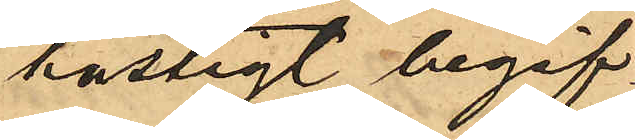hastigt begif¬
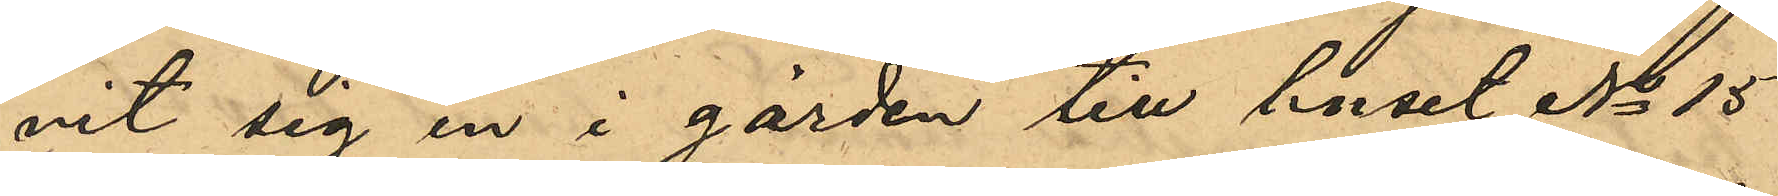vit sig in i gården till huset No 15
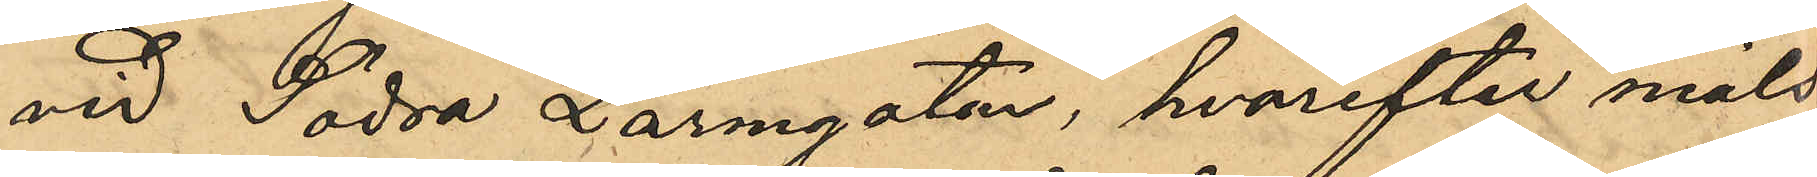vid Södra Larmgatan, hvarefter måls¬
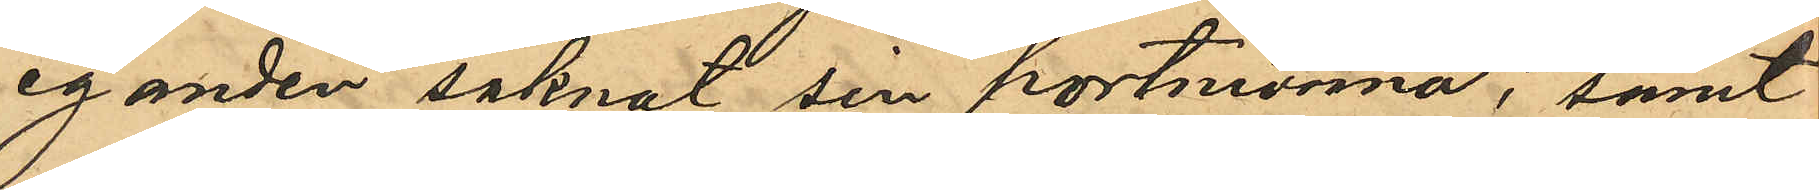eganden saknat sin portmonnä; samt
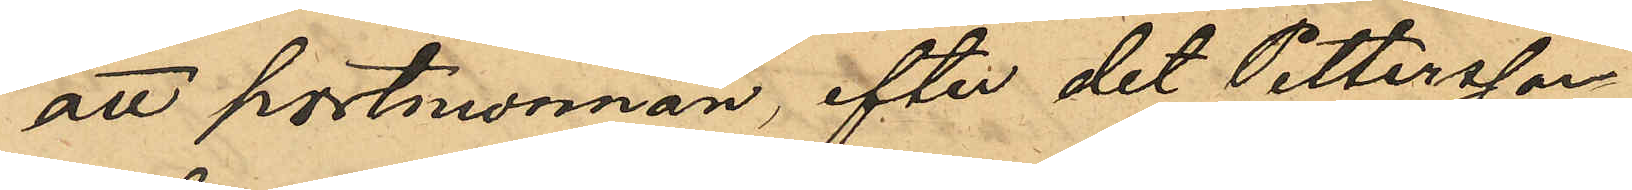att portmonnän, efter det Pettersson
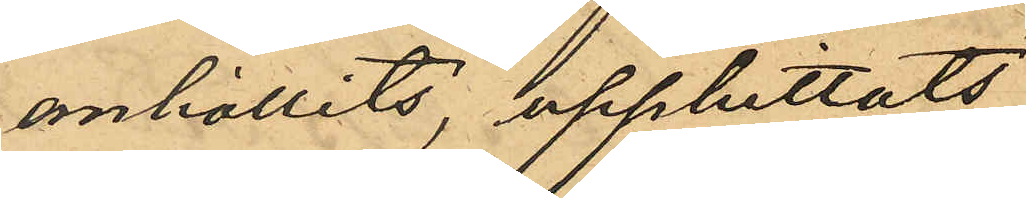anhållits, upphittats
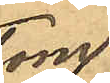tom
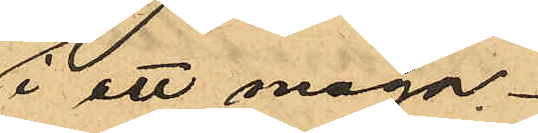i ett maga¬
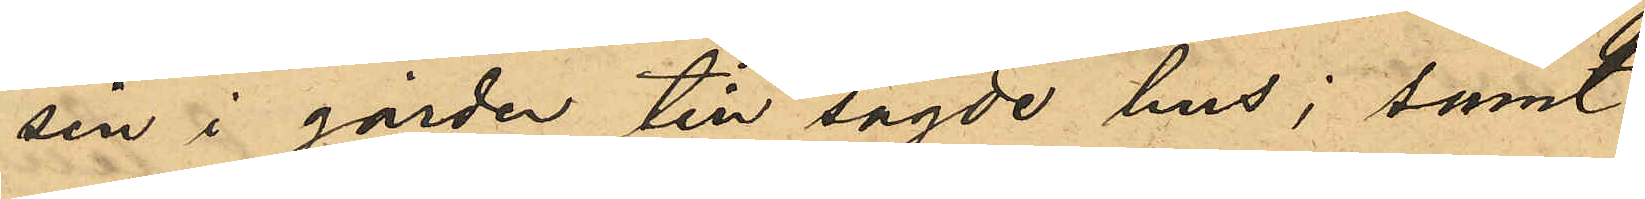sin i gården till sagde hus; samt
